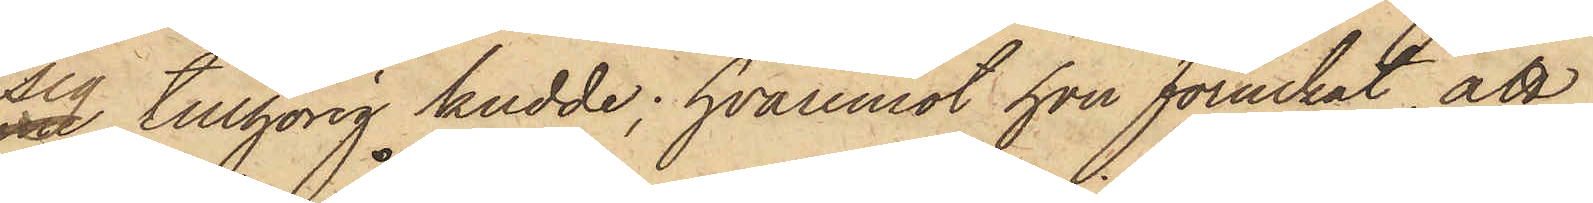sig tillhörig kudde; hvaremot hon förnekat, att
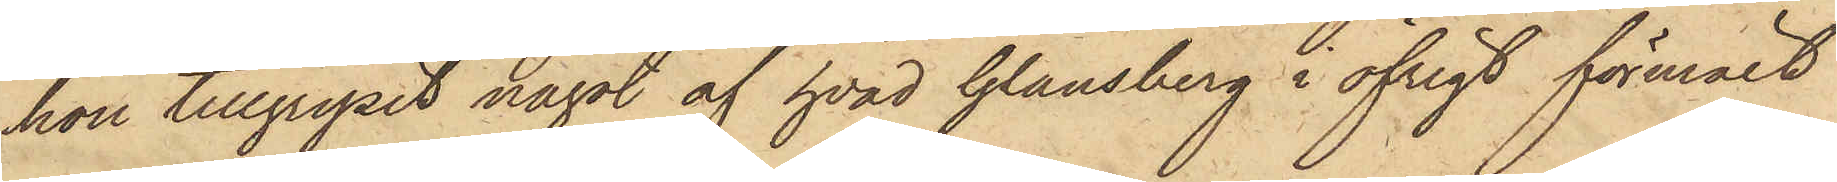hon tillgripit något af hvad Glansberg i öfrigt förmält
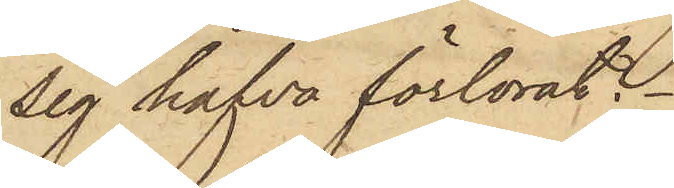sig hafva förlorat.
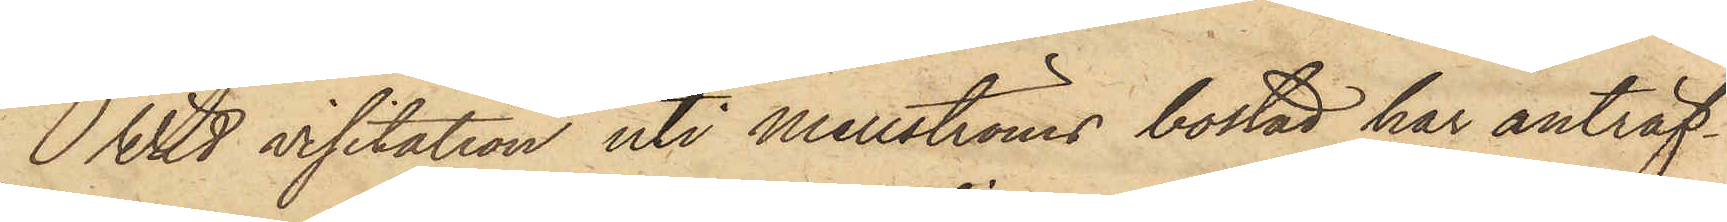Wid visitation uti Mellströms bostad har anträf¬
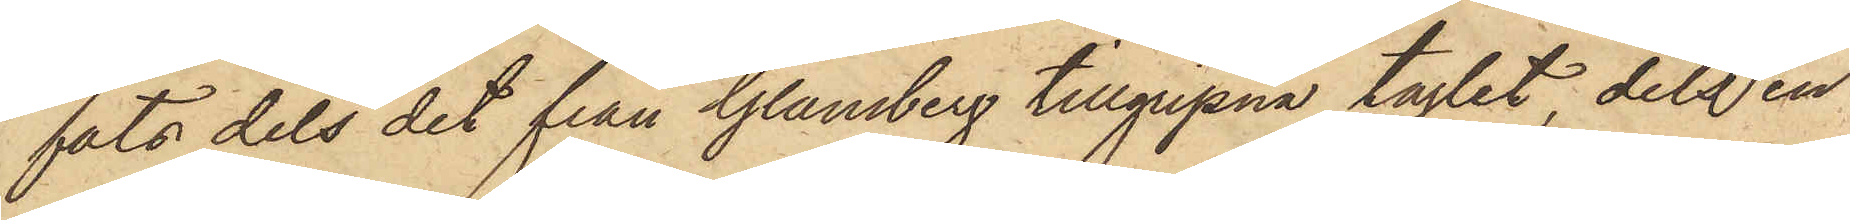fats dels det från Glansberg tillgripna taglet, dels en
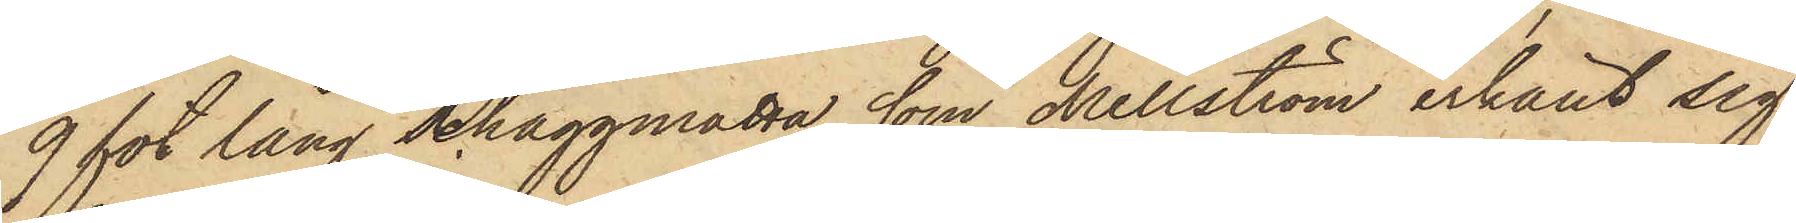9 fot lång schaggmatta, som Mellström erkänt sig
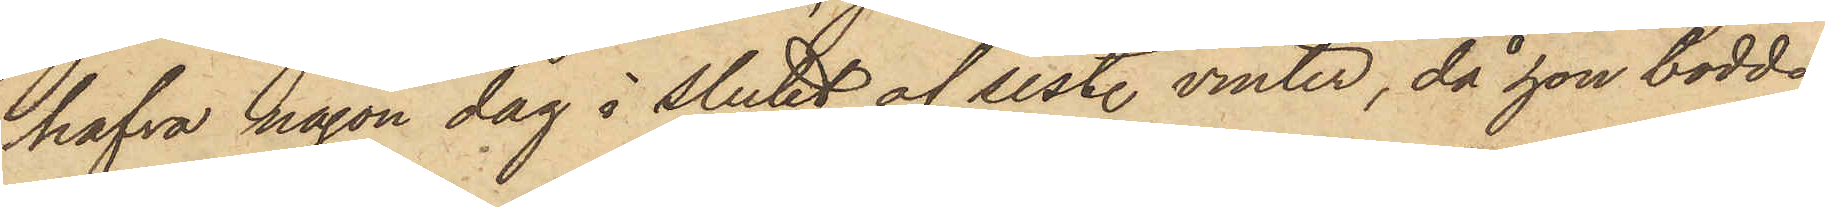hafva någon dag i Slutet af sist. vinter, då hon bodde
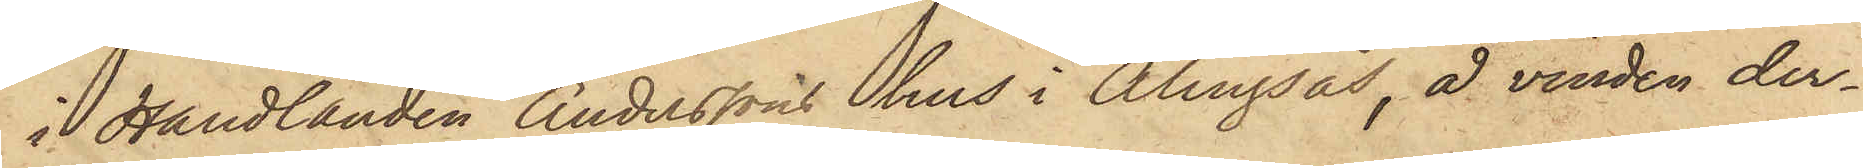i Handlanden Anderssons hus i Alingsås, å vinden der¬
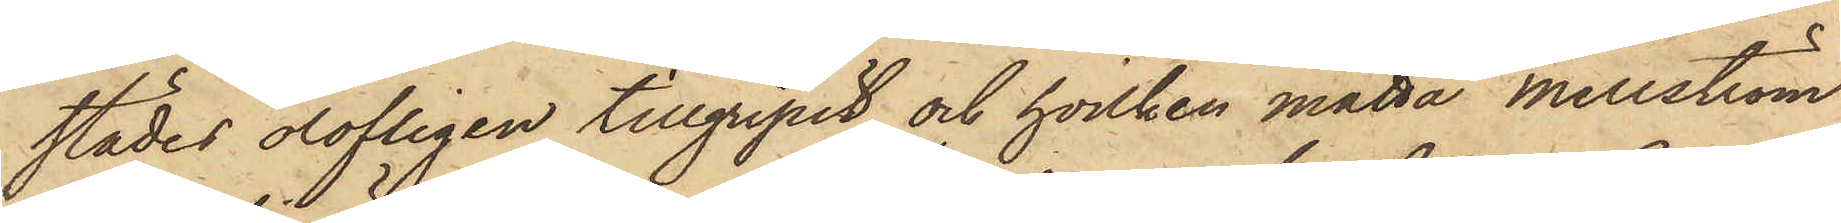städes olofligen tillgripit och hvilken matta Mellström
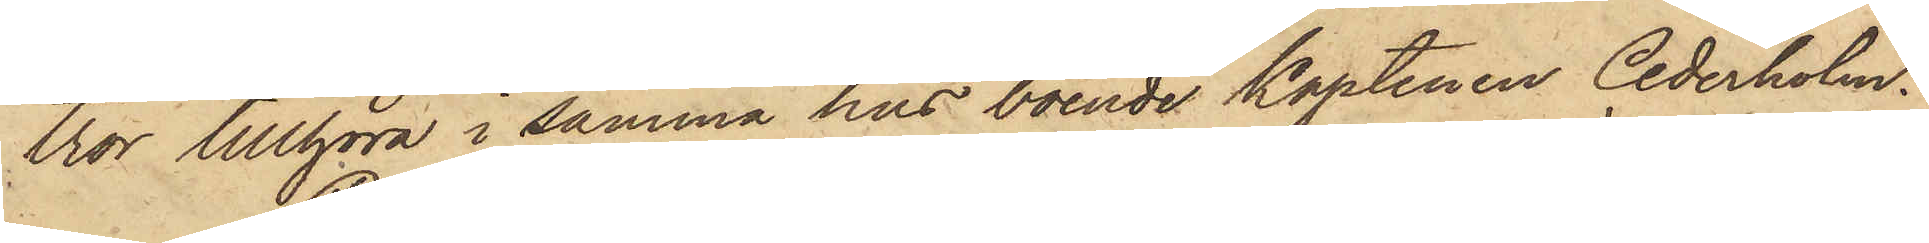tror tillhöra i samma hus boende Kaptenen Cederholm.
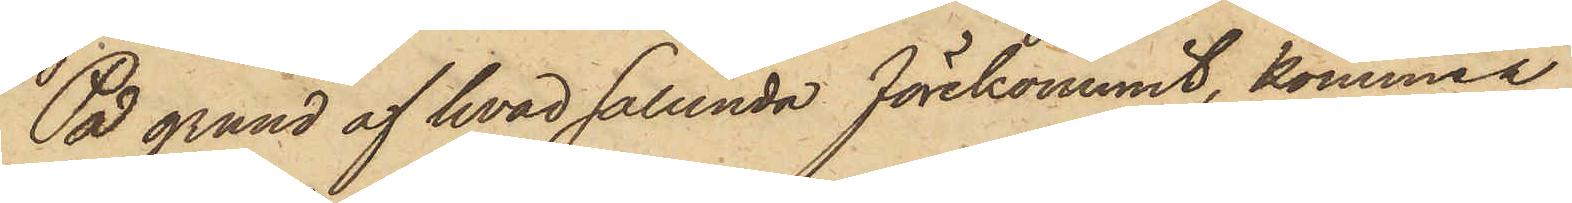På grund af hvad sålunda förekommit, kommer
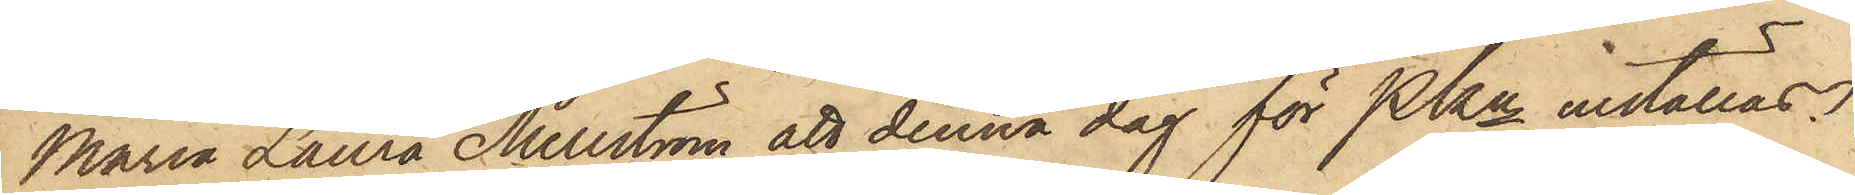Maria Laura Mellström att denna dag för Pkn inställas.
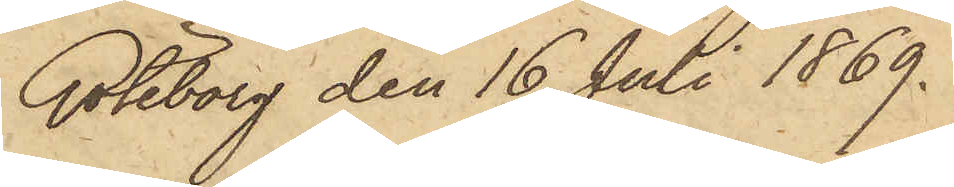Göteborg den 16 Juli 1869.
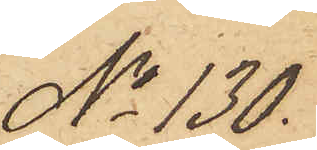No 130.
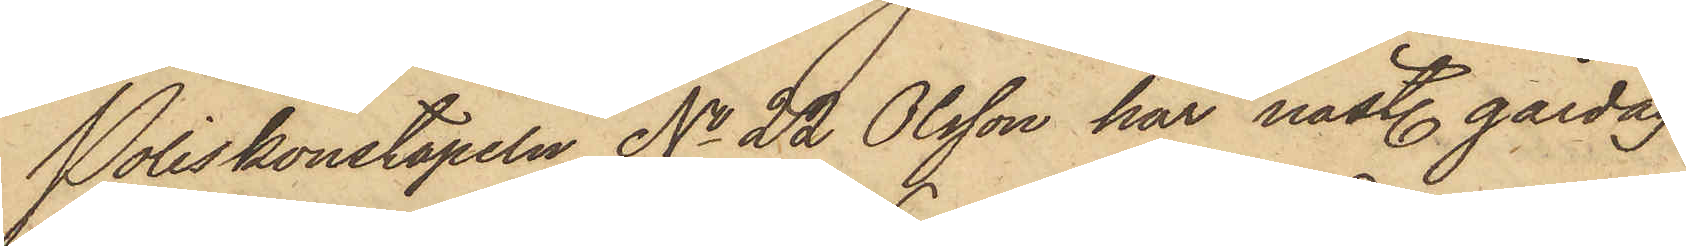Poliskonstapeln No 22 Olsson har nästl. gårdag
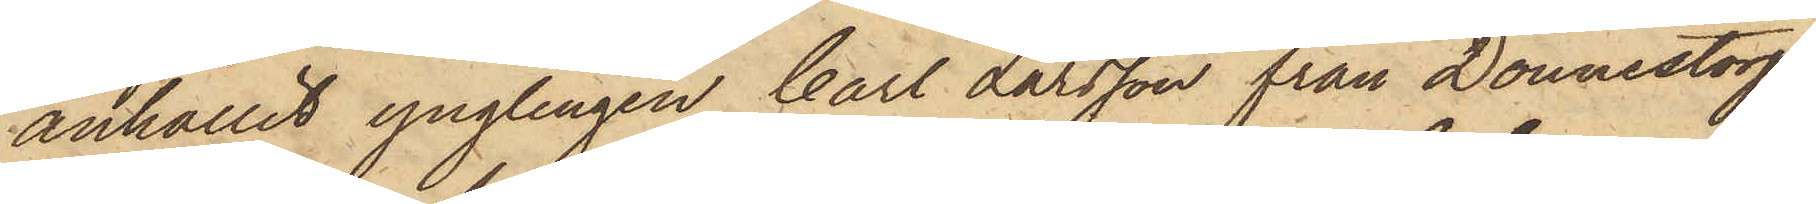anhållit ynglingen Carl Larsson från Donnestorp
